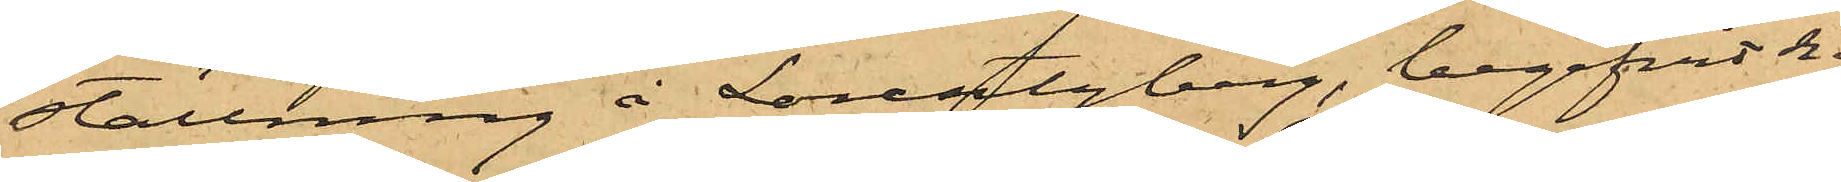ställning å Lorentzberg, begifvit sig af
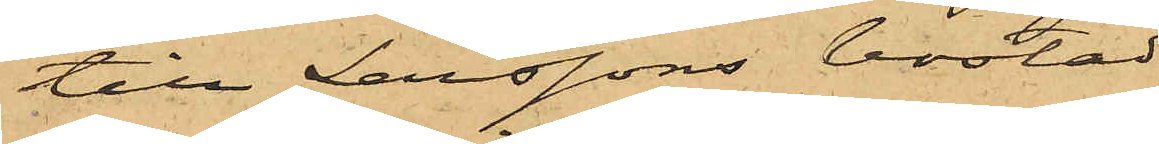till Larssons bostad
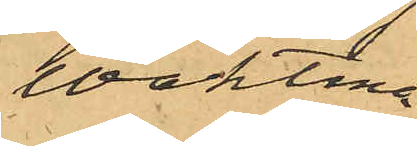i Waktmä¬
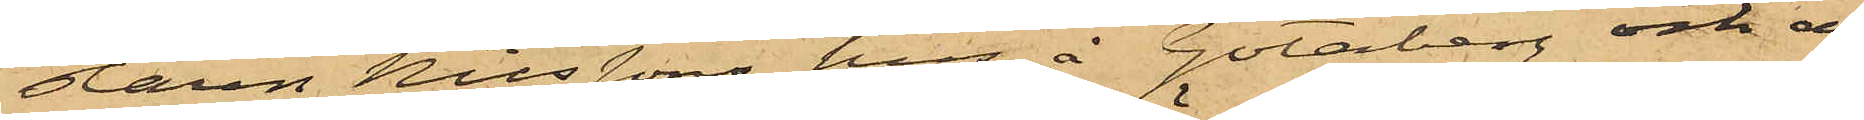staren Nilssons hus å Götaberg och af
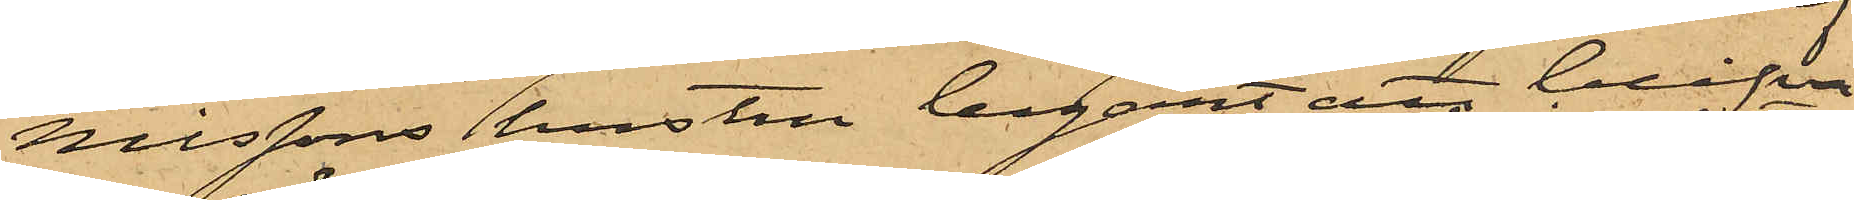Nilssons hustru begärt att blifva
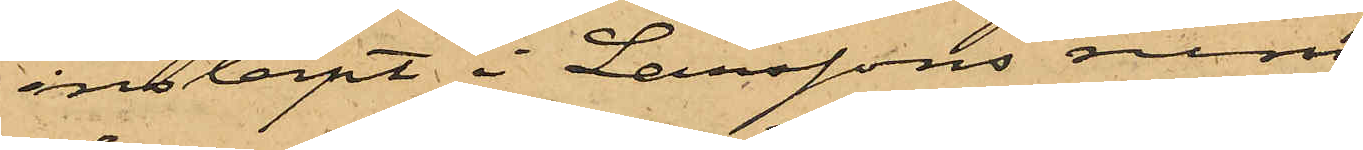insläpt i Larssons rum
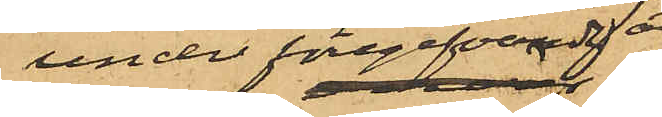under föregifvande att
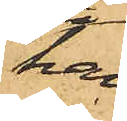han
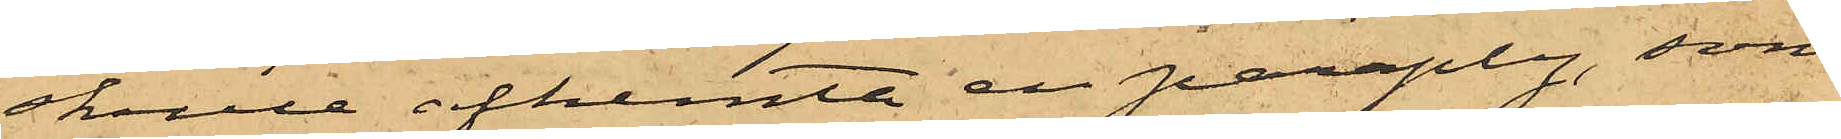skulle afhemta en paraply, som
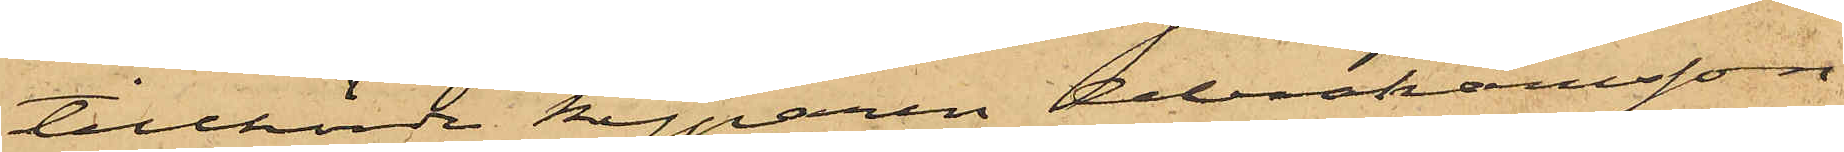tillhörde kyparen Abrahamsson,
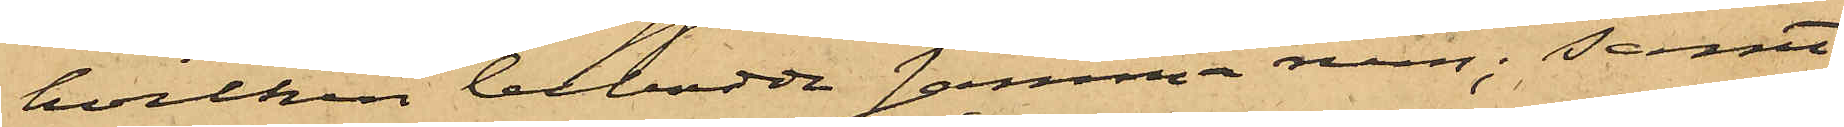hvilken bebodde samma rum; samt
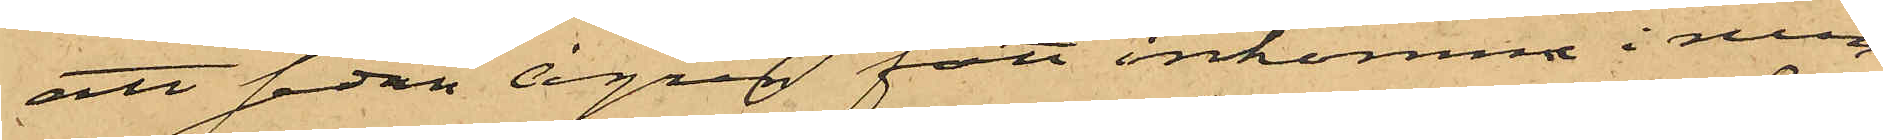att sedan Ågren fått inkomna i rum¬
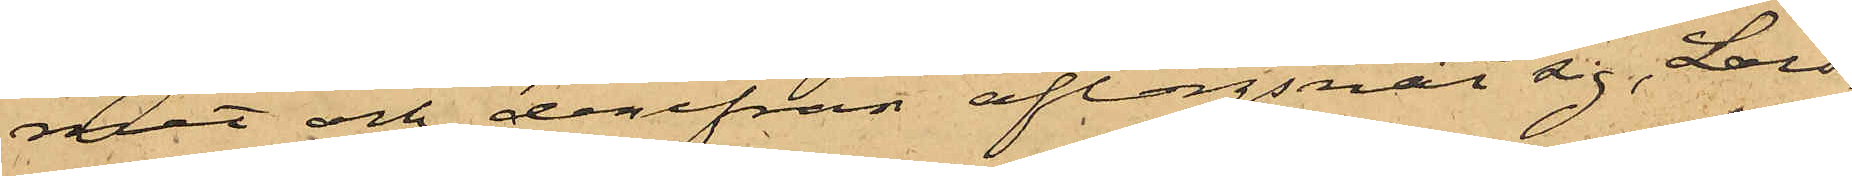met och derifrån aflägsnat sig, Lars¬
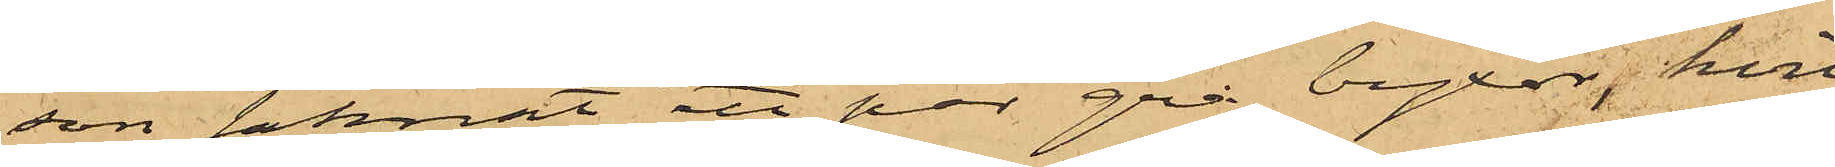son saknat ett par grå byxor, hvil¬
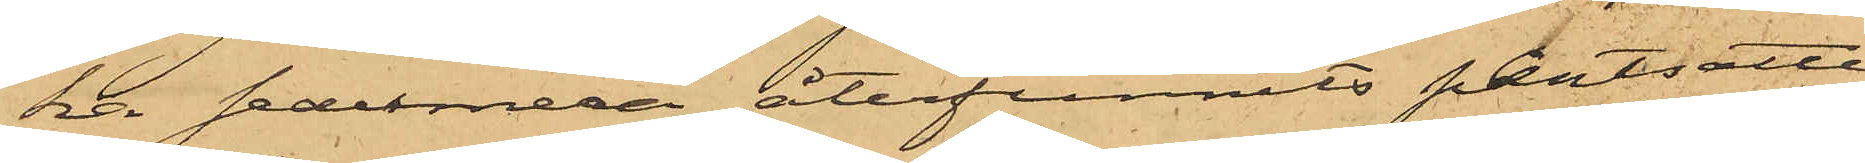ka sedermera återfunnits pantsatte
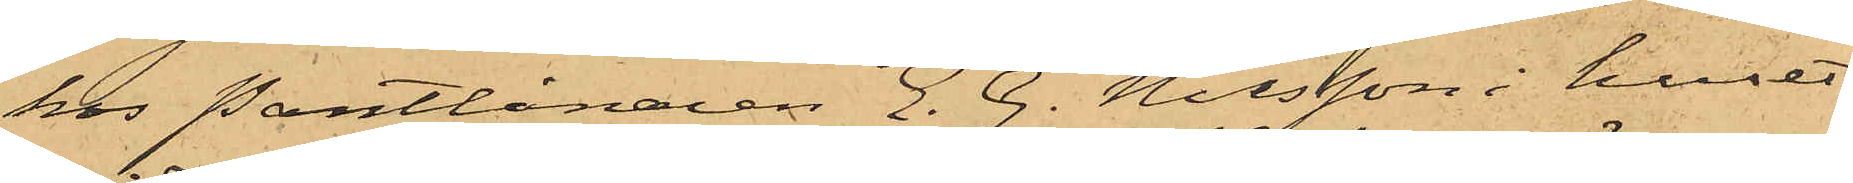hos Pantlånaren E. G. Nilsson i huset
